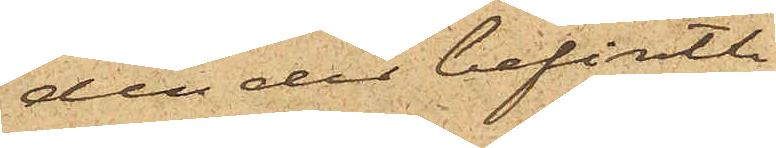den der befintli¬
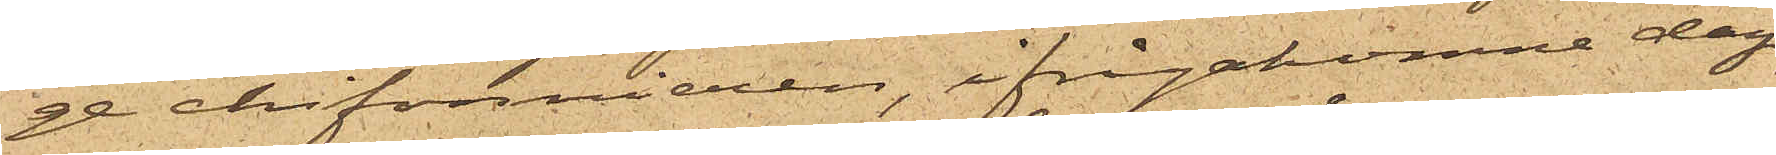ge chifonnieren ifrågakomne dag,
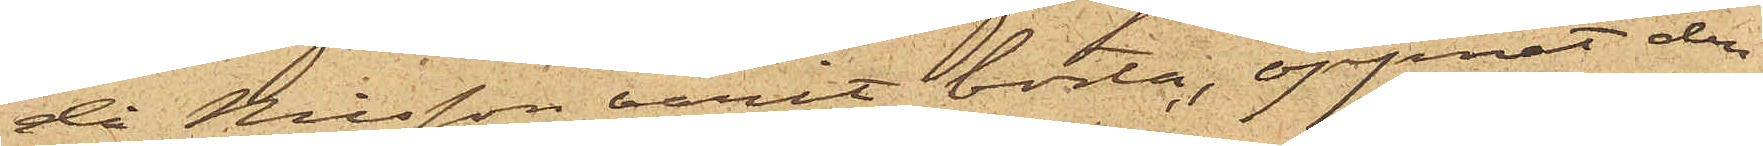då Nilsson varit borta, öppnat den
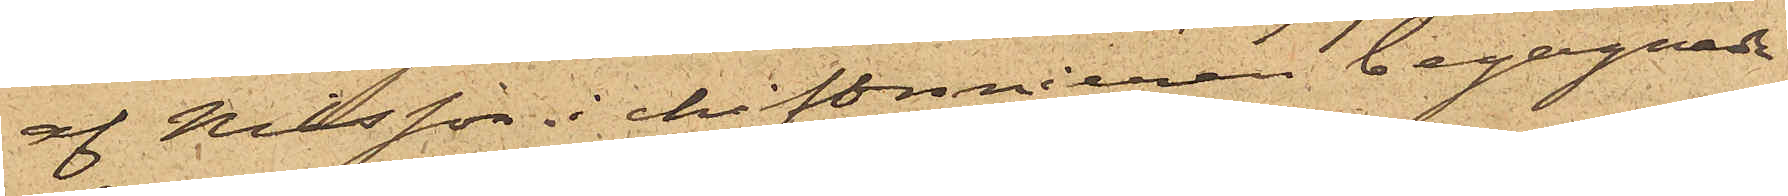af Nilsson i chiffonieren begagnade
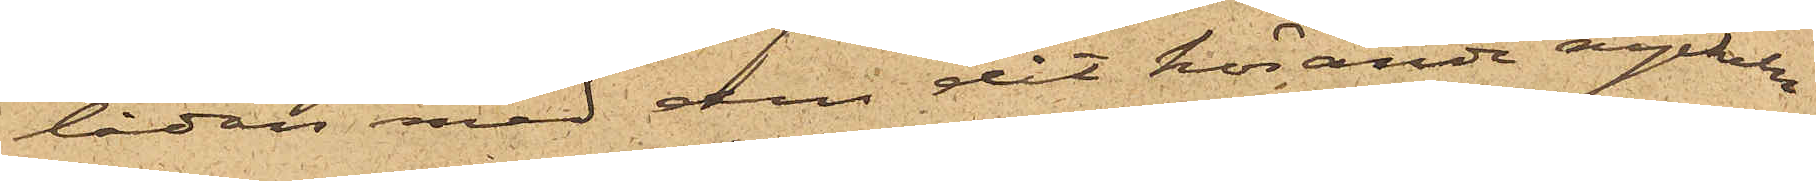lådan med den dit hörande nyckeln
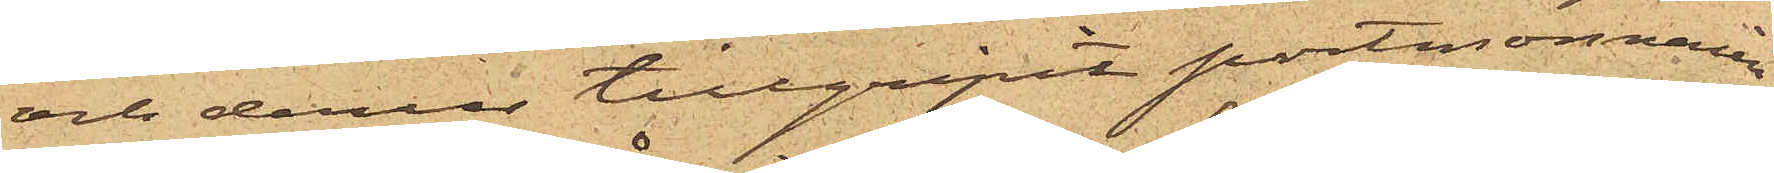och derur tillgripit portmonnaien,
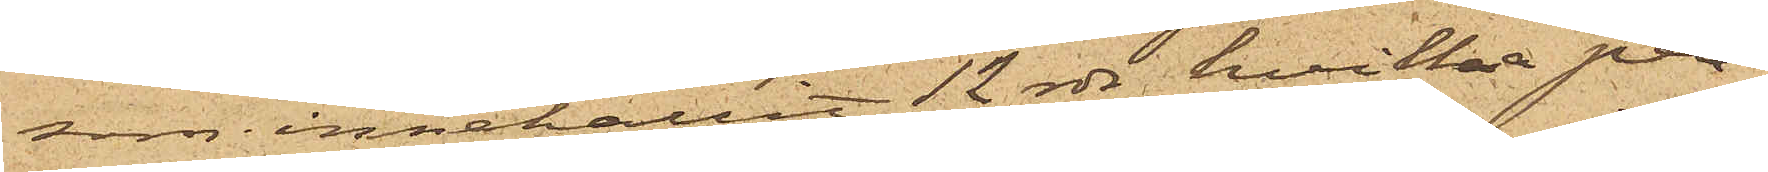som innehållit 12 rdr, hvilka pen¬
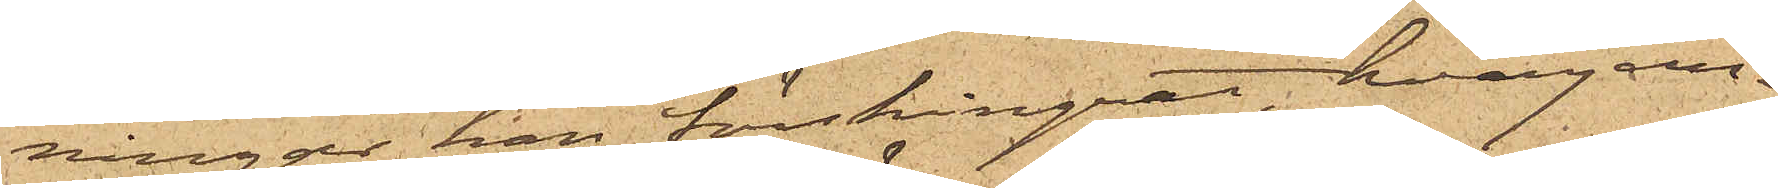ningar han förskingrat, hvarjem¬
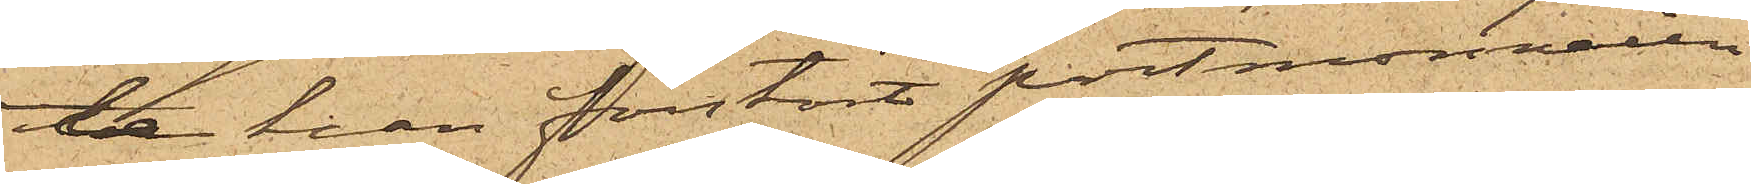te han förstört portmonnaien.
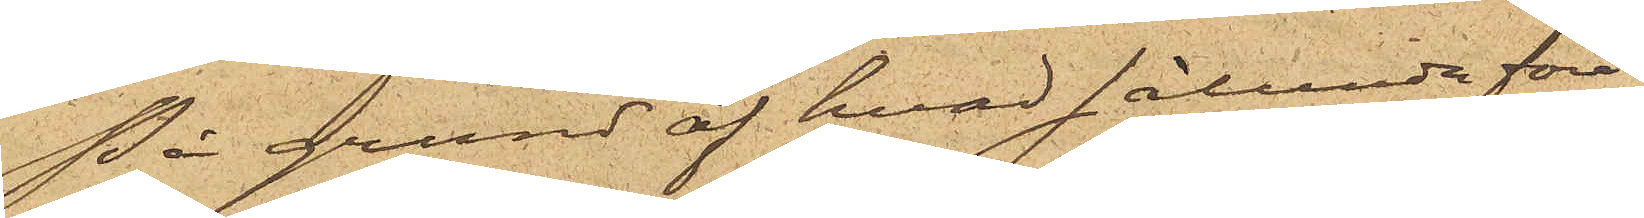På grund af hvad sålunda före¬
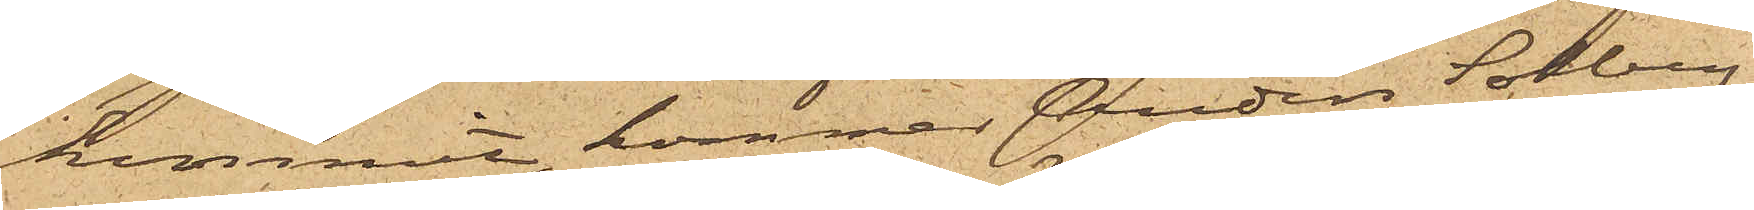kommit, kommer Anders Solberg,
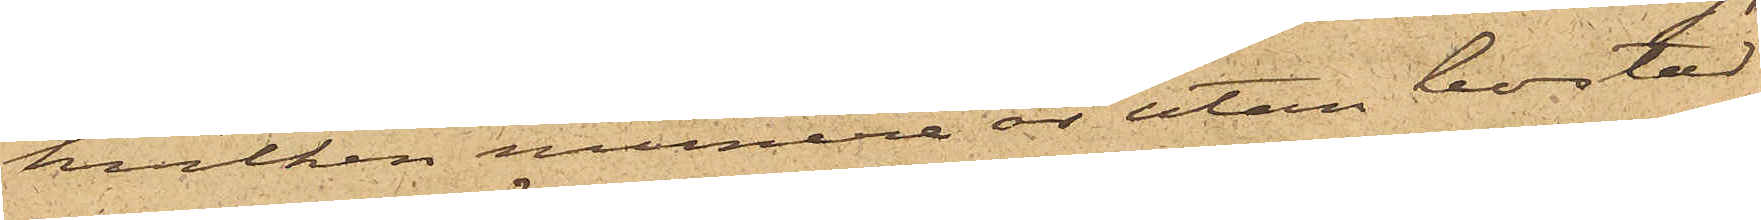hvilken numera är utan bostad
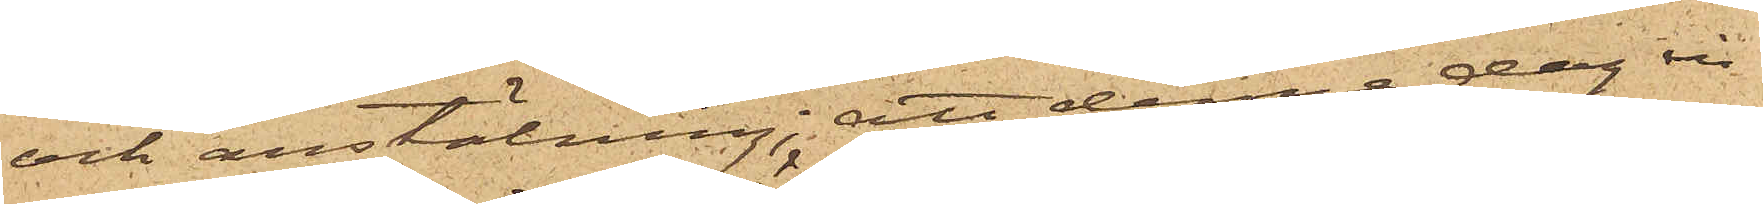och anstälning; att denna dag in¬
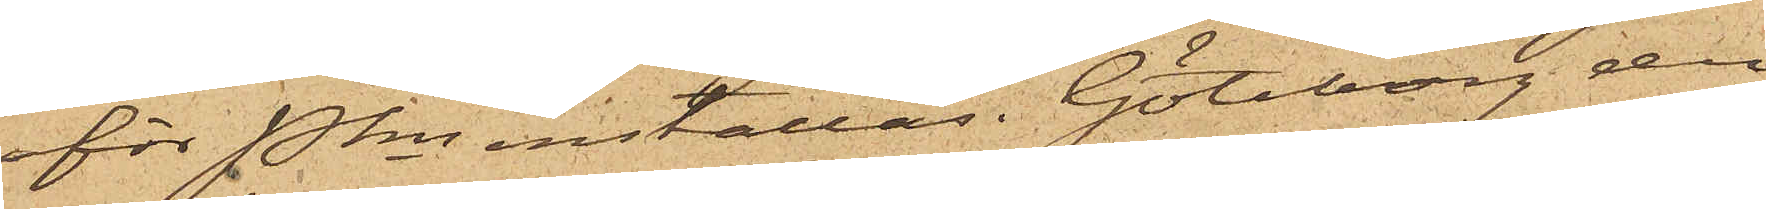för Pkn inställas. Göteborg den
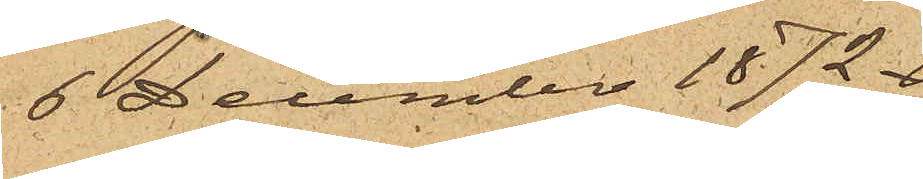6 December 1872.
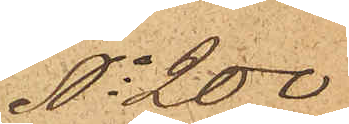No 200
